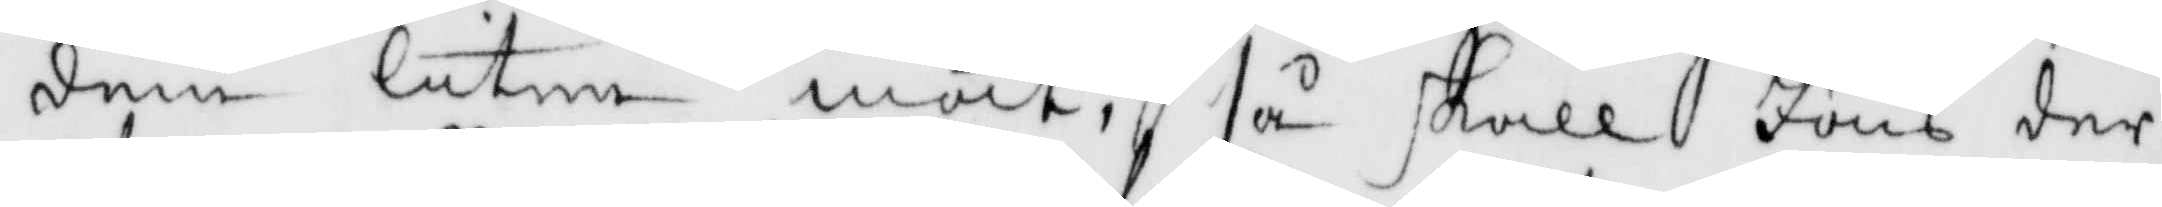dem liten mat, så skall Jöns der
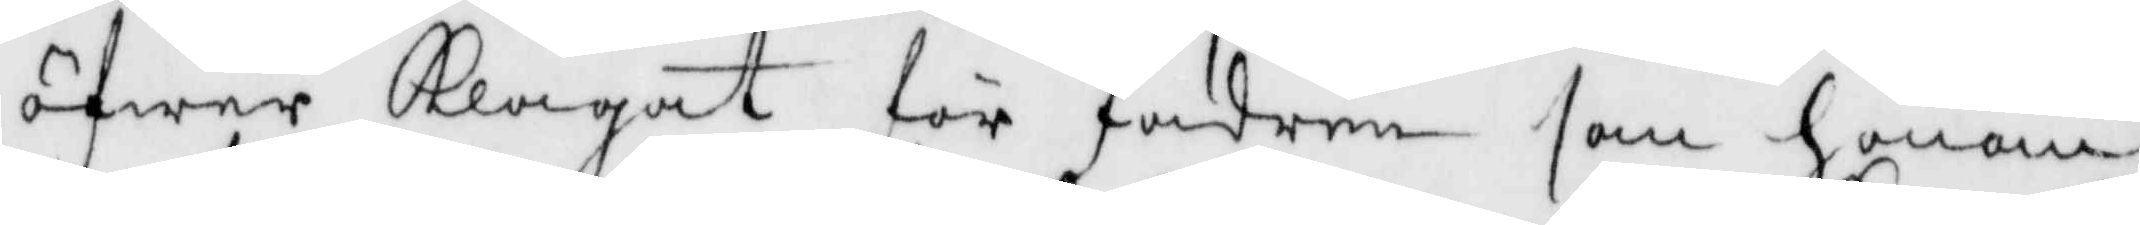öfwer Klagat för fadern som honom
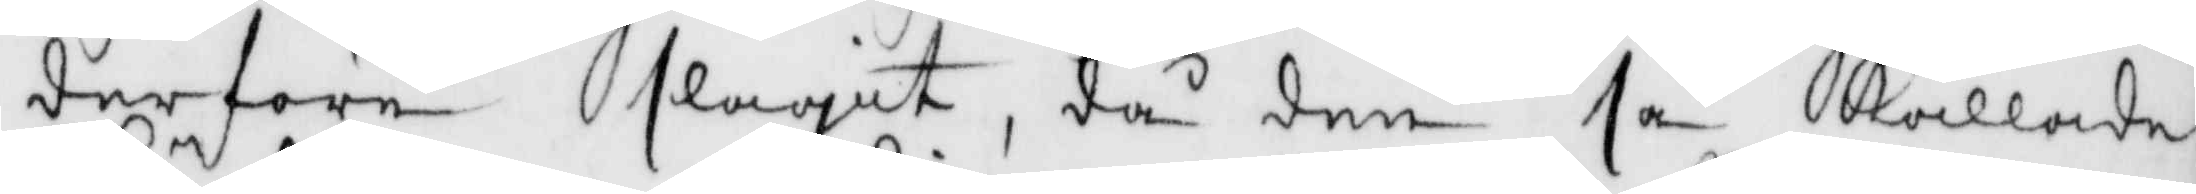derföre slagit, då den så Kallade
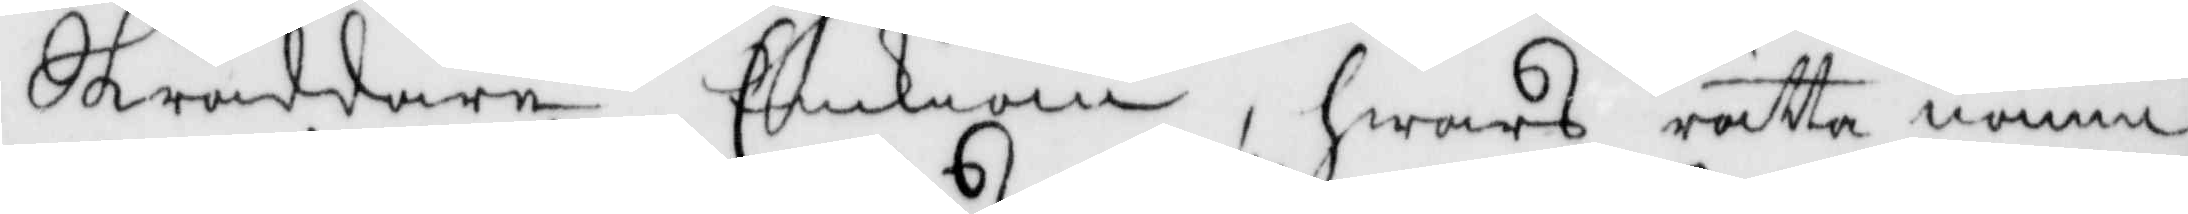Skräddare Enkian, hwars rätta namn
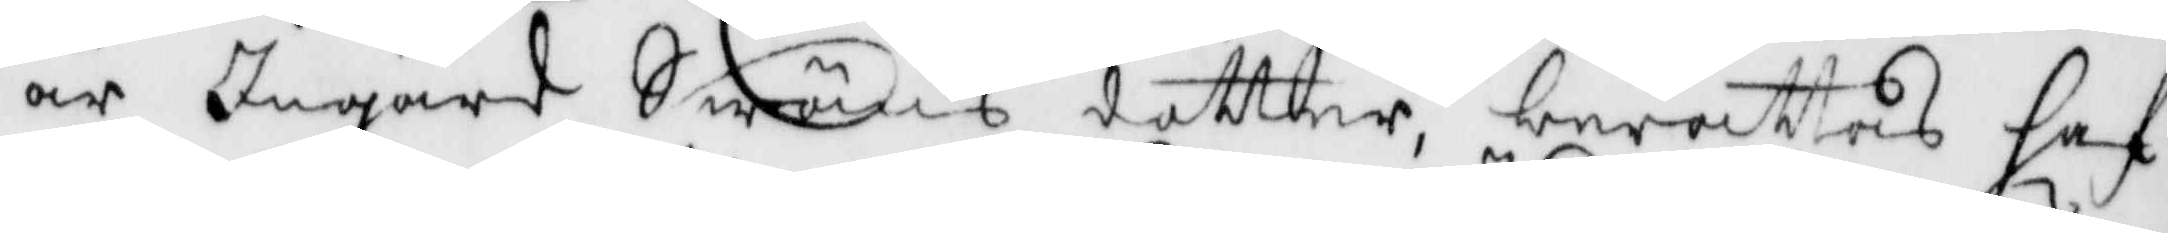är Ingärd Swäns dotter berättas haf¬
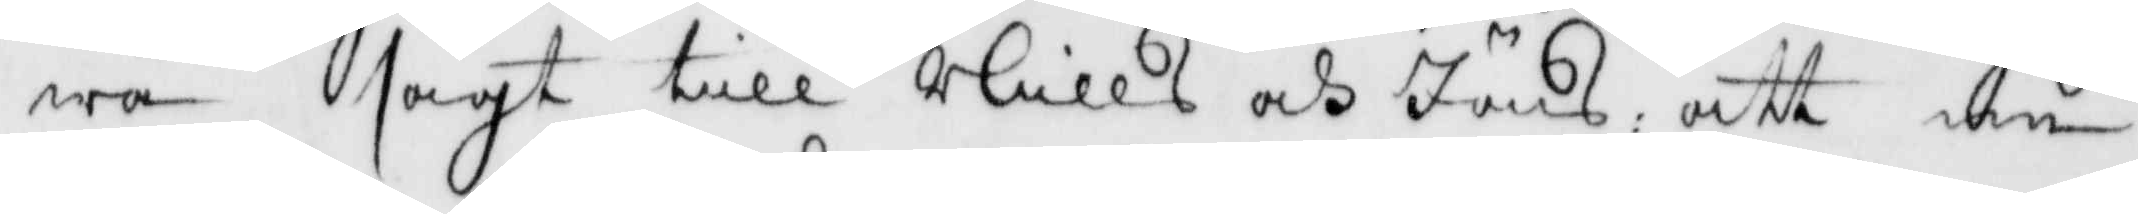wa sagt till Nills och Jöns, att nu
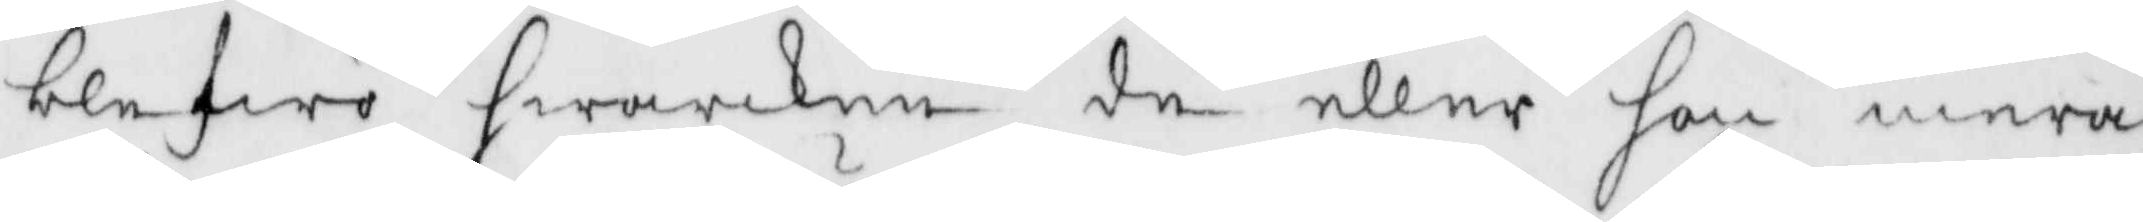blefwe hwarken de eller hon mera
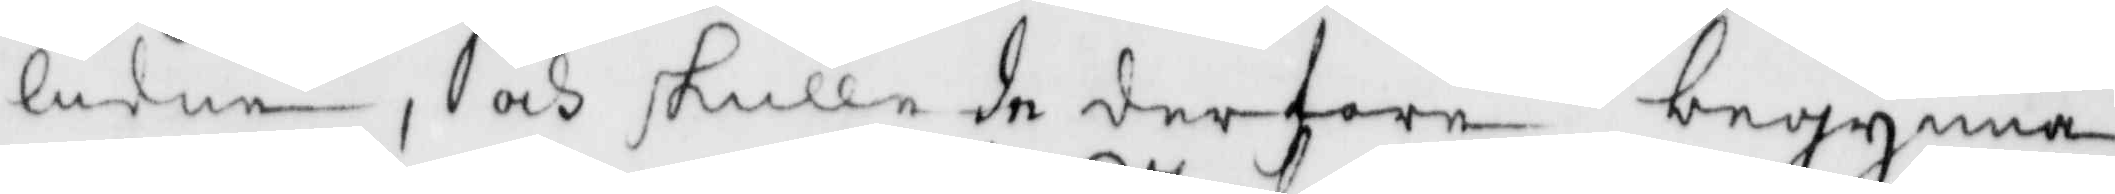lidna, och skulle de derföre begynna
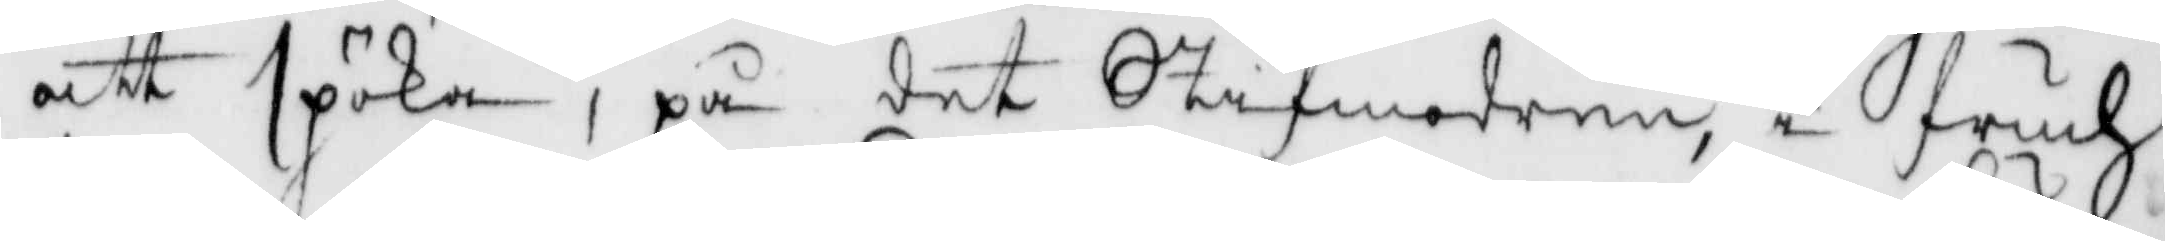att spöka, på det Stifmodren i fruch¬
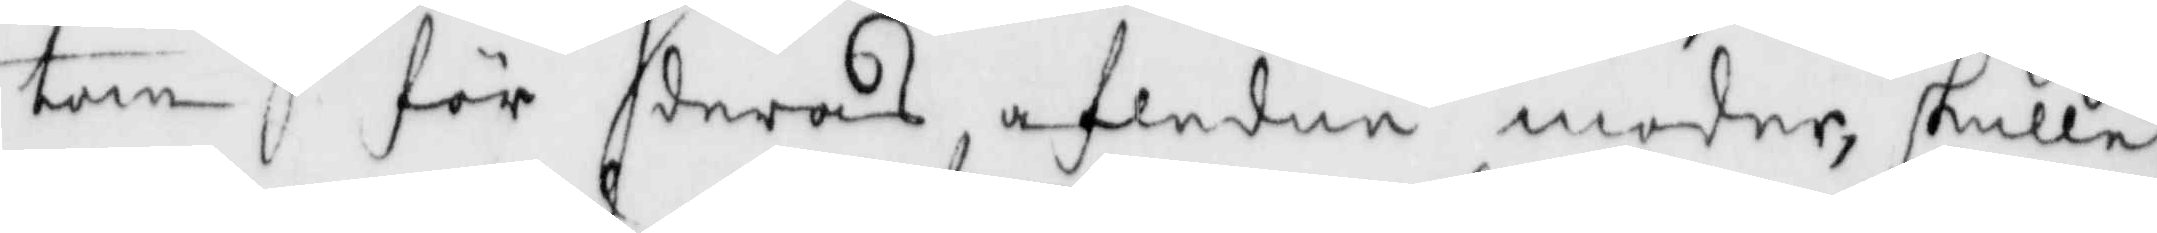tan för deras afledne moder, skulle
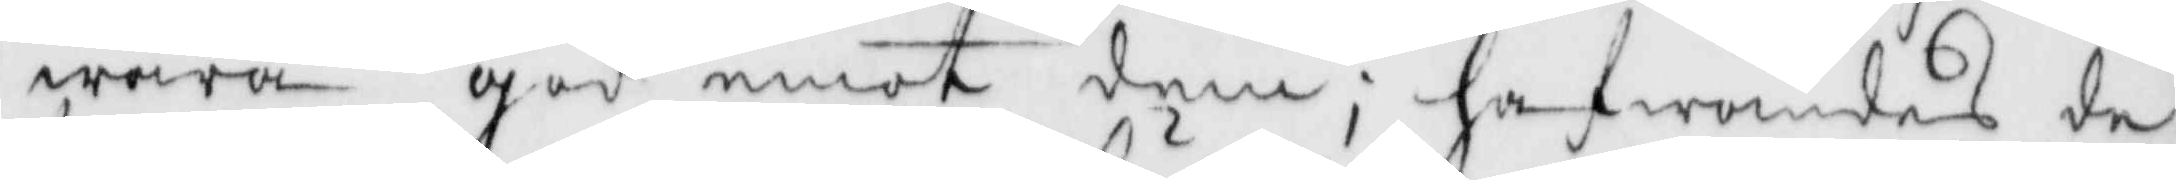wara god emot dem; hafwandes de
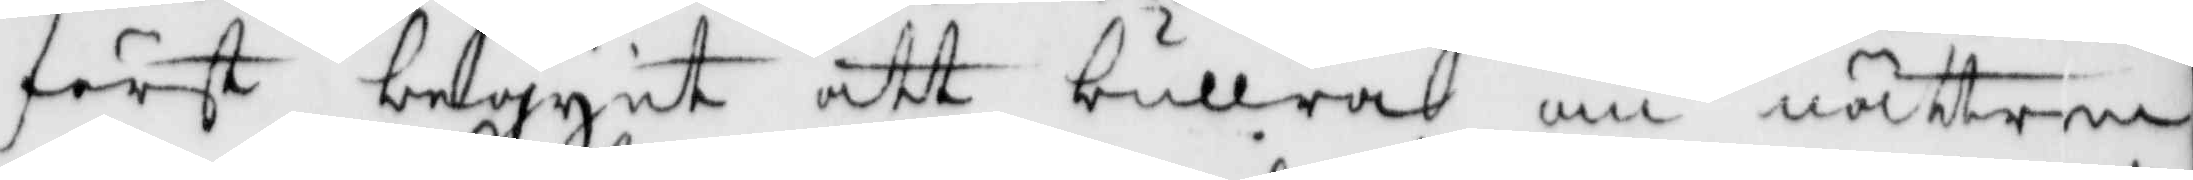först begynt att bullra om nätterna
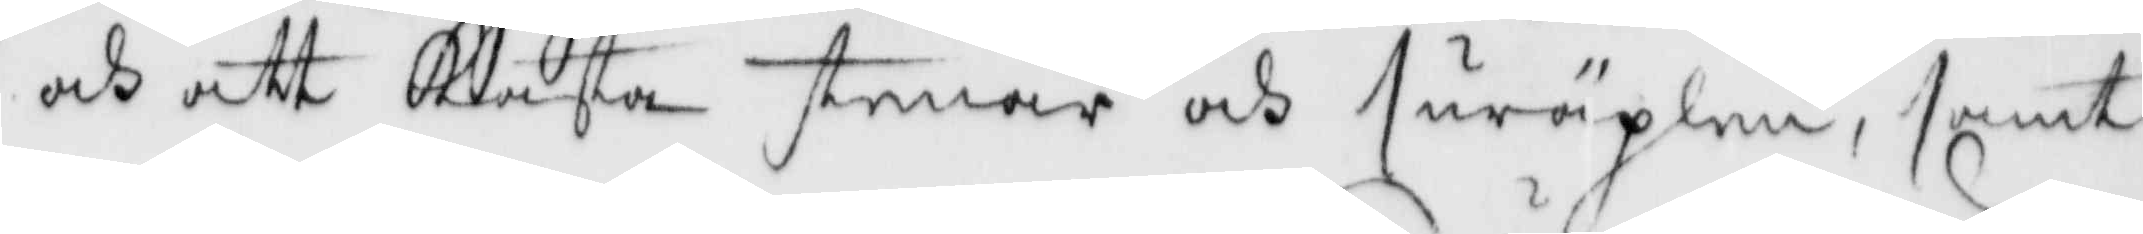och att Kasta stenar och suräplen, samt
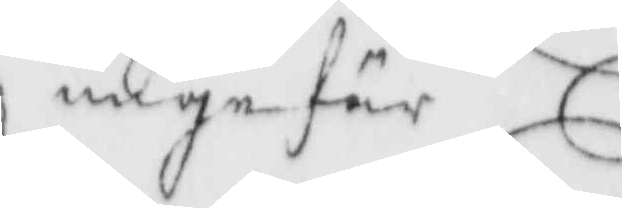ungefär
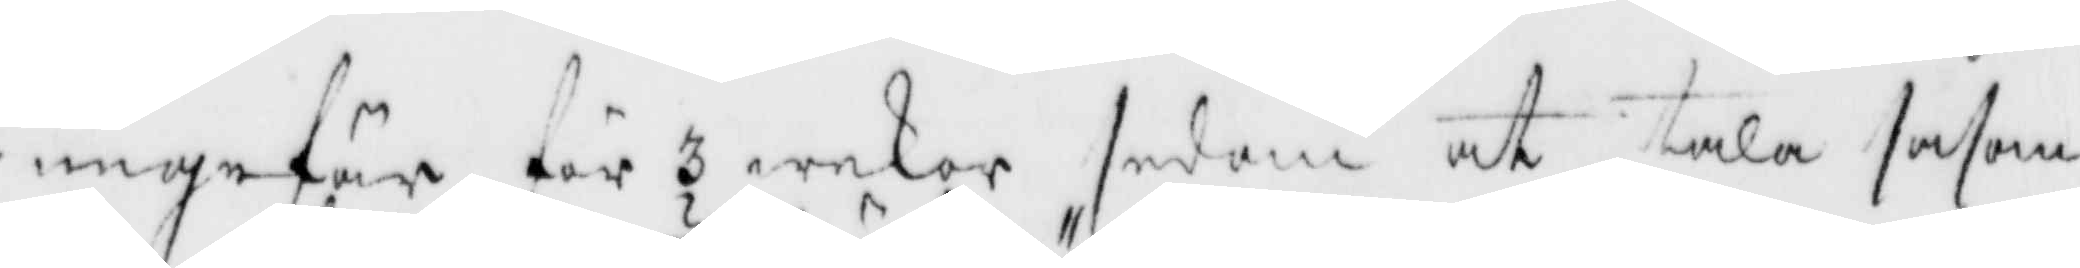ungefär för 3 wekor sedan att tala såsom
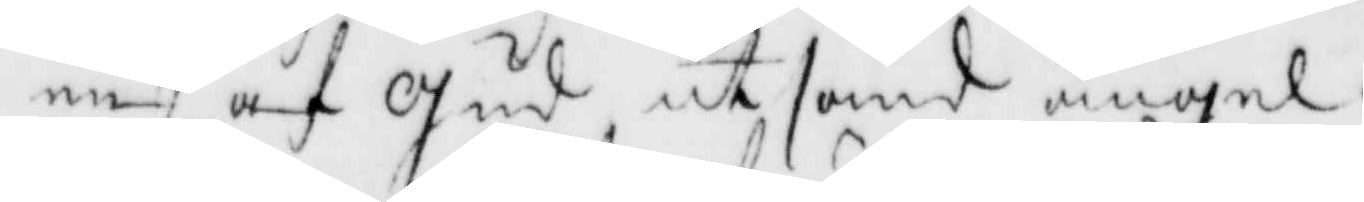en af Gud utsänd ängel.
